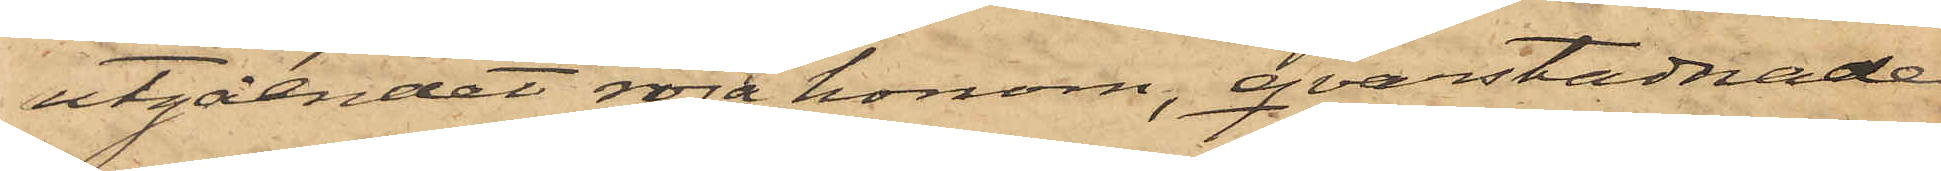utgåendet röra honom, qvarstadnade
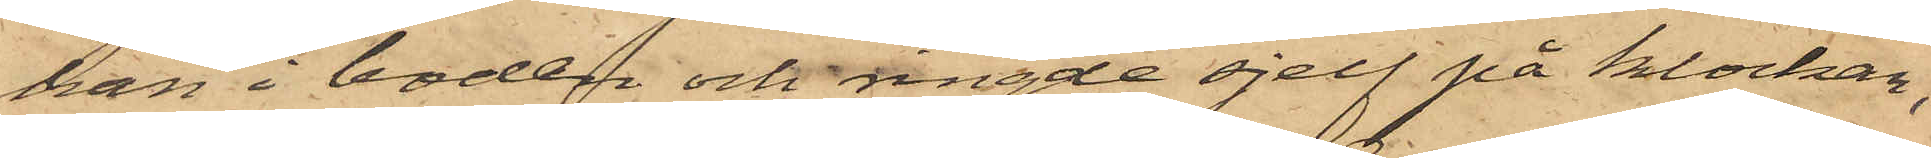han i boden och ringde sjelf på klockan,
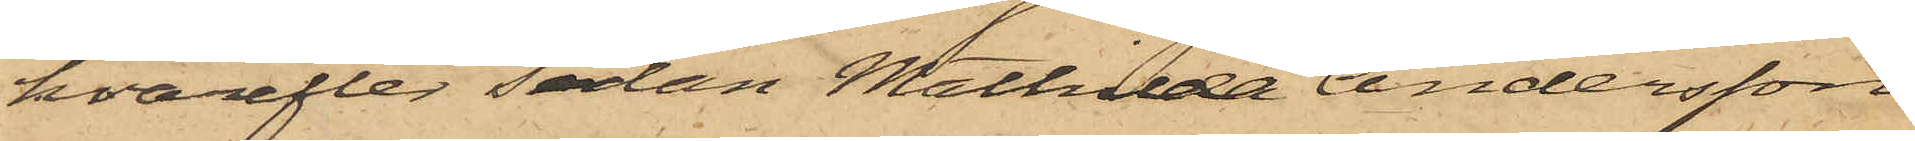hvarefter sedan Mathilda Andersson
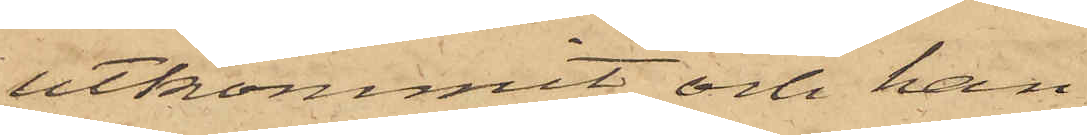utkommit och han
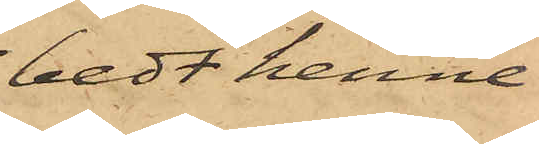bedt henne
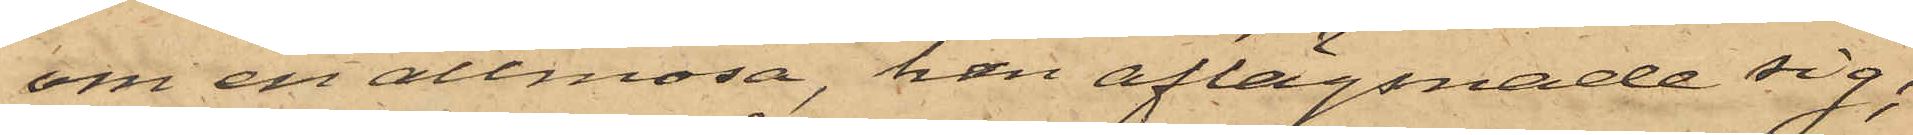om en allmosa, han aflägsnade sig;
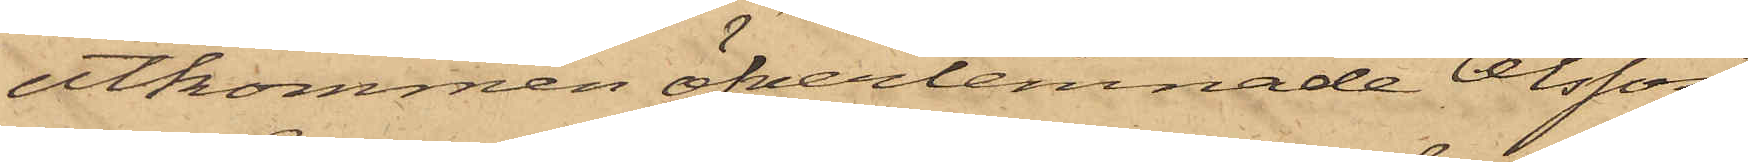utkommen öfverlemnade Olsson
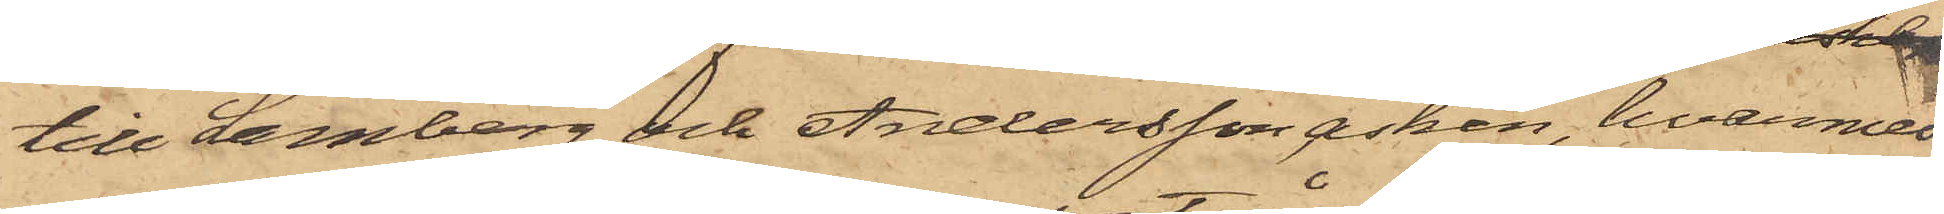till Lamberg och Andersson asken, hvarmed
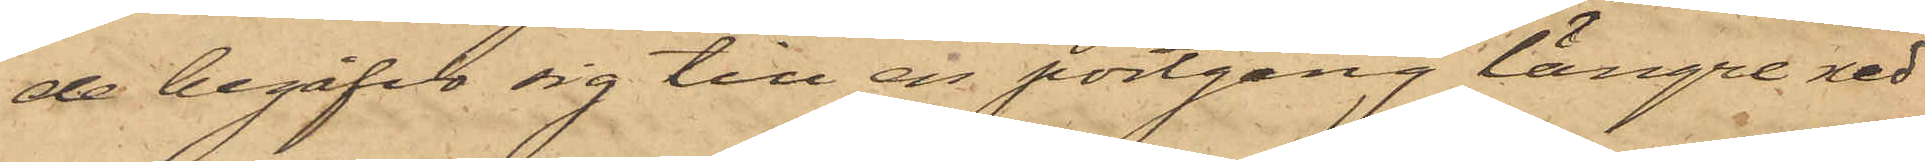de begåfvo sig till en portgång längre ned
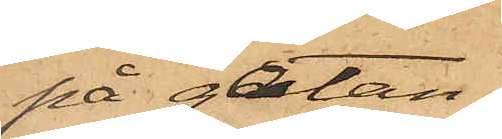på gatan,
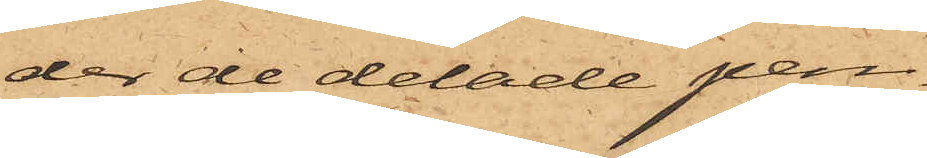der de delade pen¬
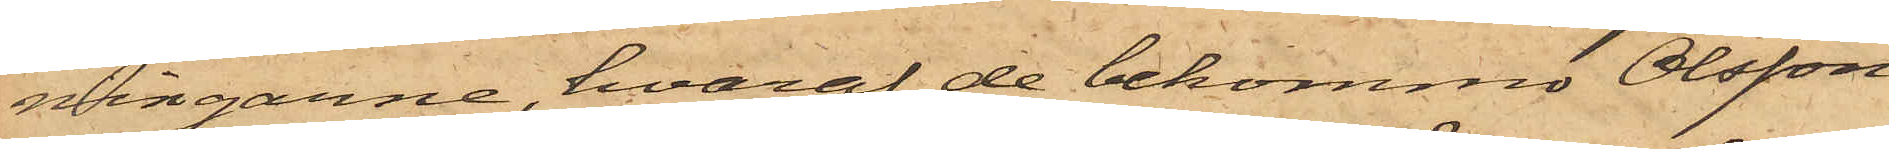ningarne, hvaraf de bekommo Olsson
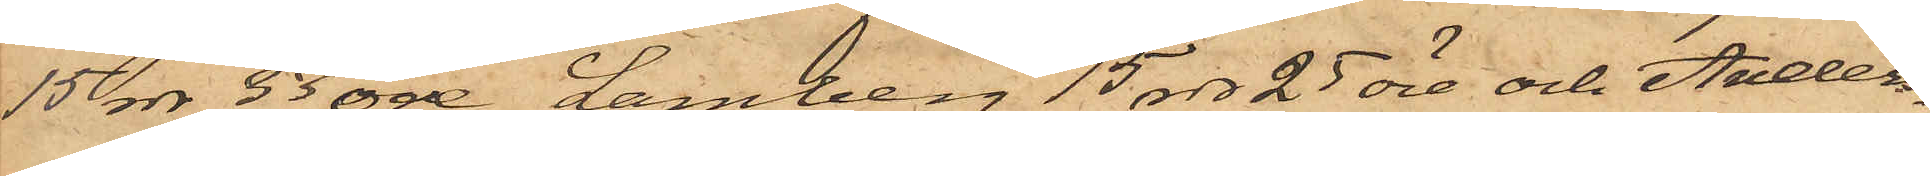15 rdr 33 öre, Lamberg 15 rdr 25 öre och Anders¬
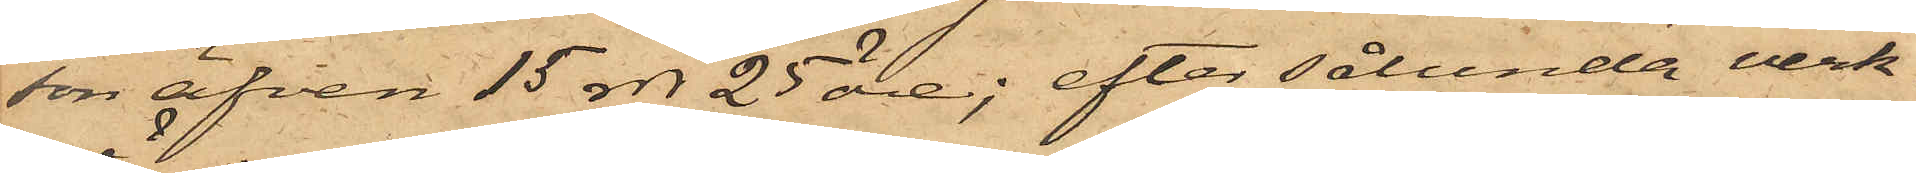son äfven 15 rdr 25 öre; efter sålunda verk¬
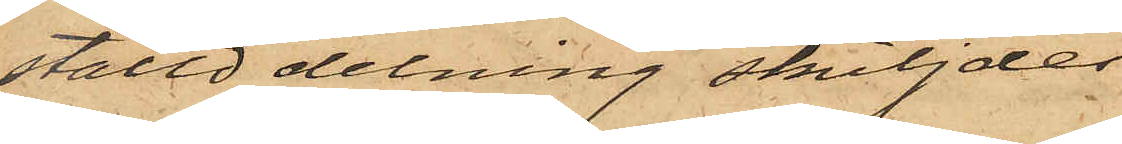ställd delning skiljdes
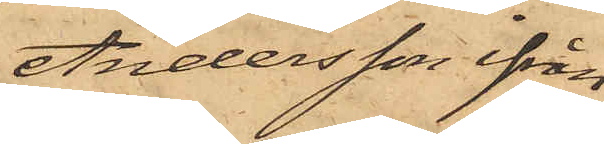Andersson ifrån
